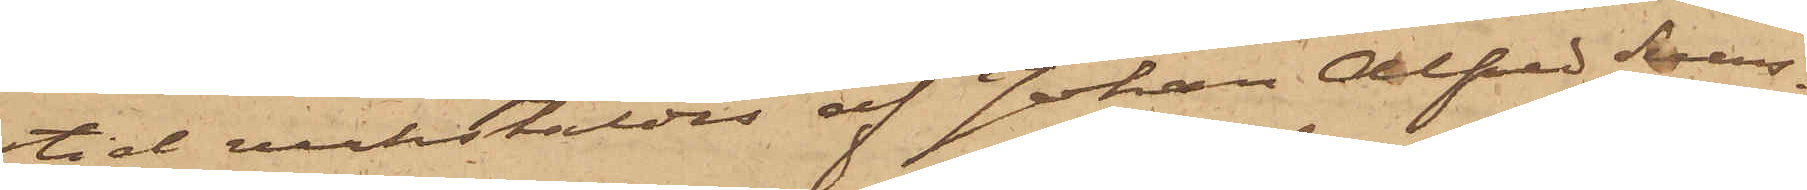tid verkstäldes af Johan Alfred Svens¬
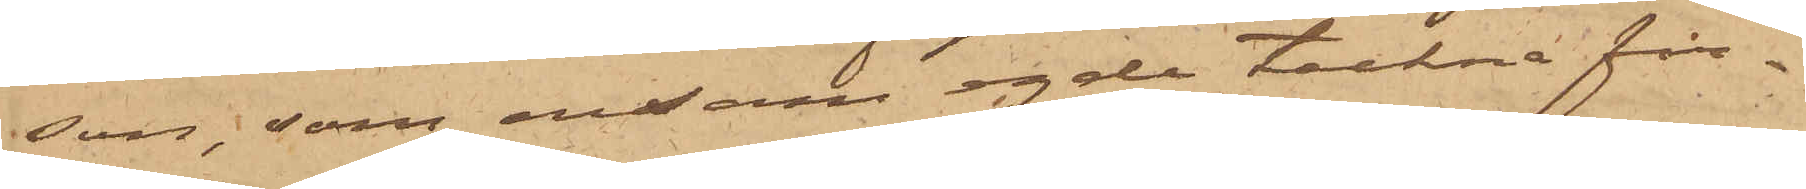son, som ensam egde teckna fir¬
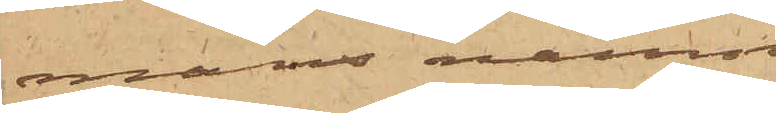mans namn.
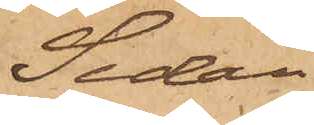Sedan
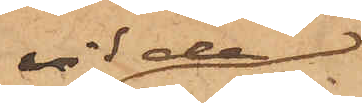vid den
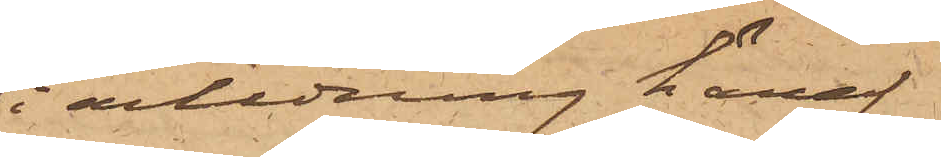i anledning häraf
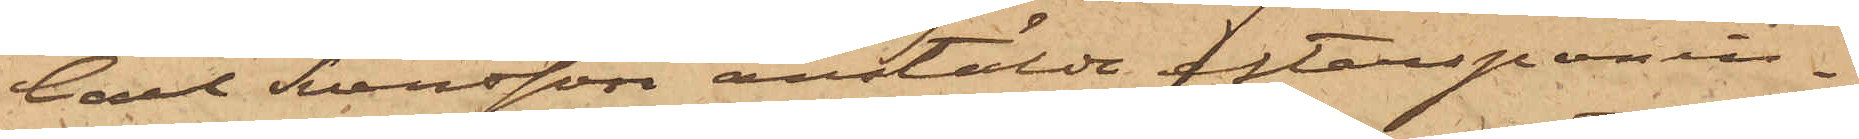Carl Svensson anstälda efterspanin¬
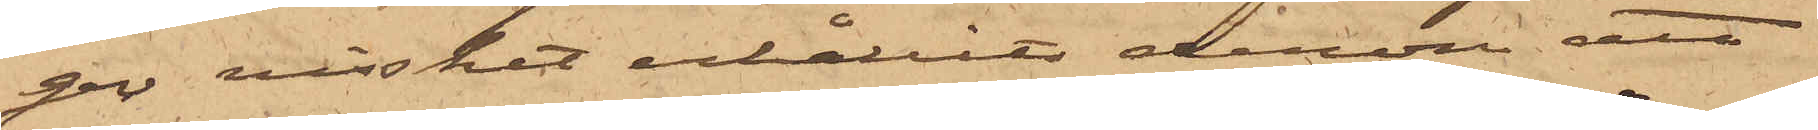gen visshet erhållits derom att
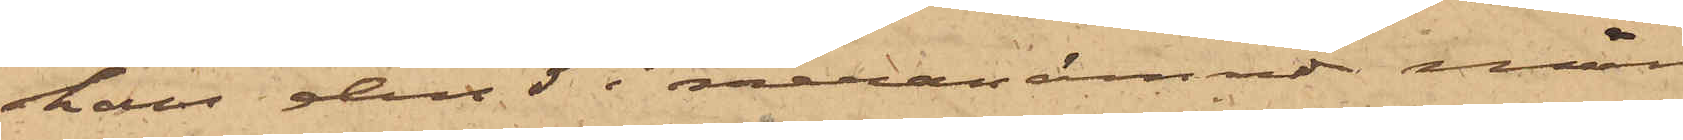han den 5 i meranämnde månad
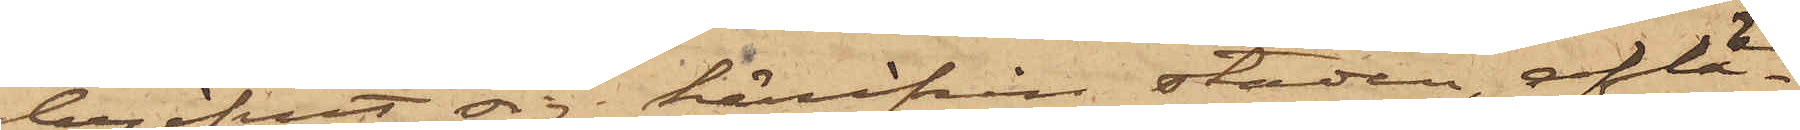begifvit sig härifrån staden, aflä¬
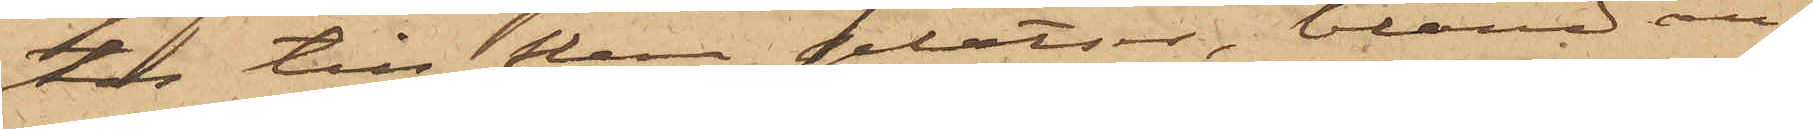tos till den platser, bland an¬
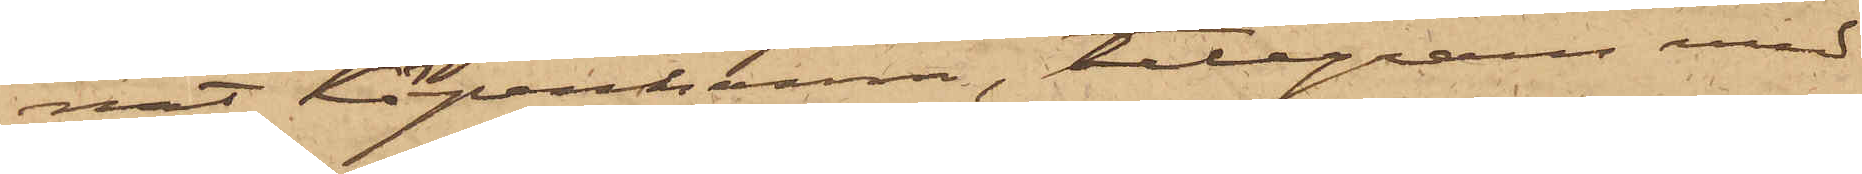nat Köpenhamn, telegram med
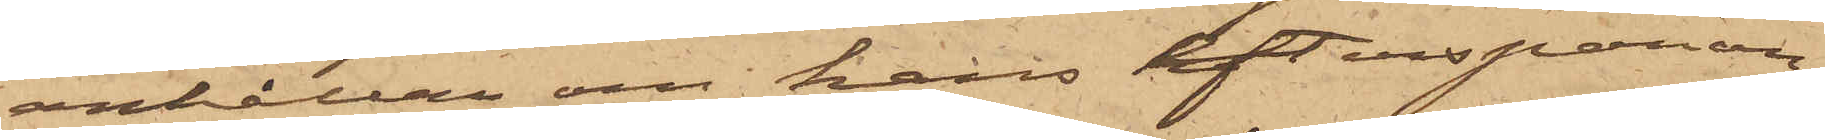anhållan om hans efterspanan¬
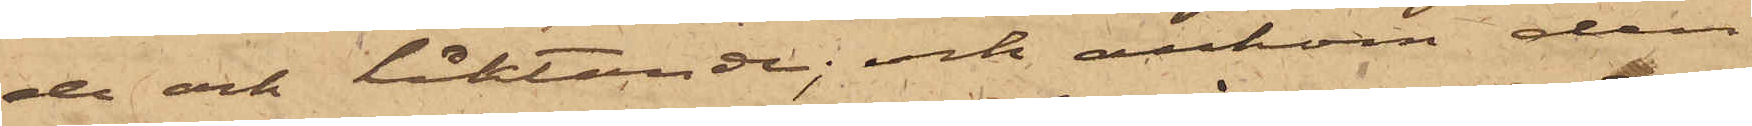de och häktande; och ankom den
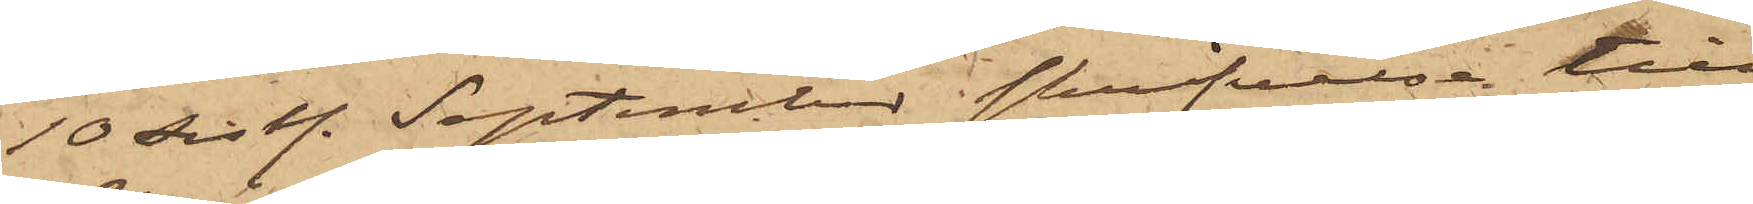10 sistl. September i skrifvelse till
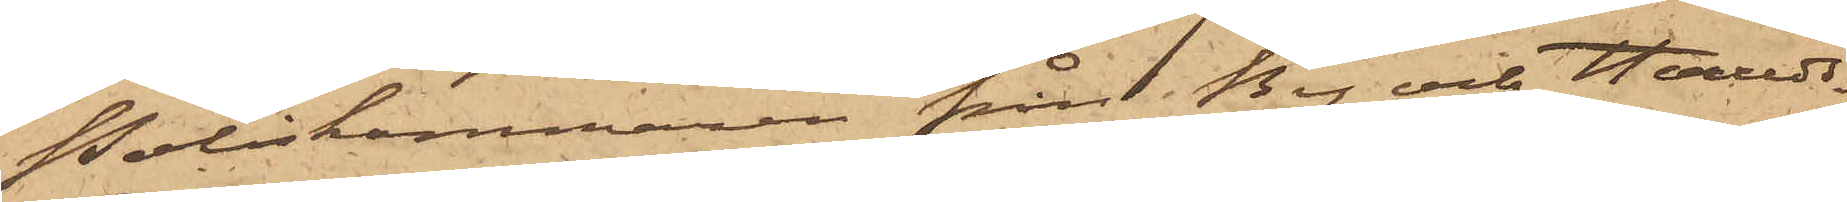Poliskammaren från By¬ och Hærreds¬
